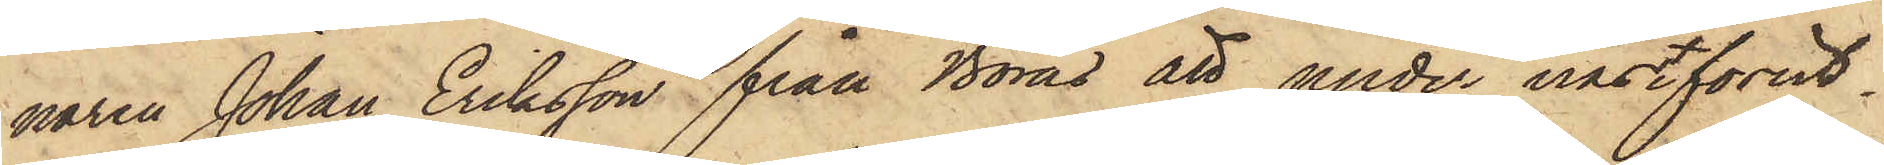naren Johan Eriksson från Borås att under nästförut¬
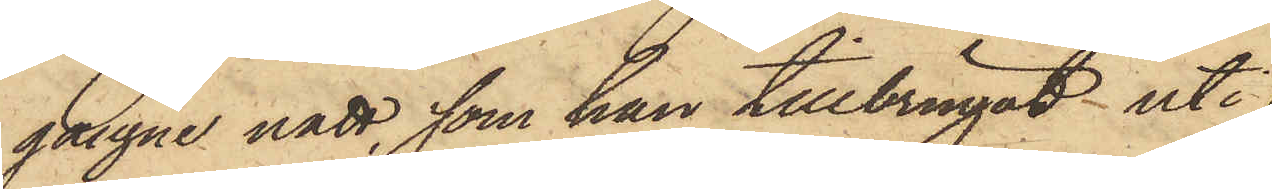gångne natt, som han tillbringat uti
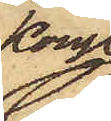Kongl.
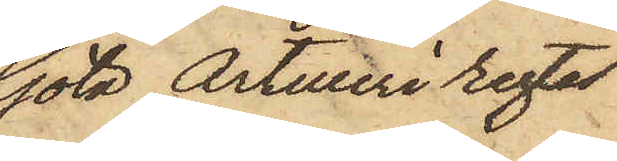Göta Artilleri regtes
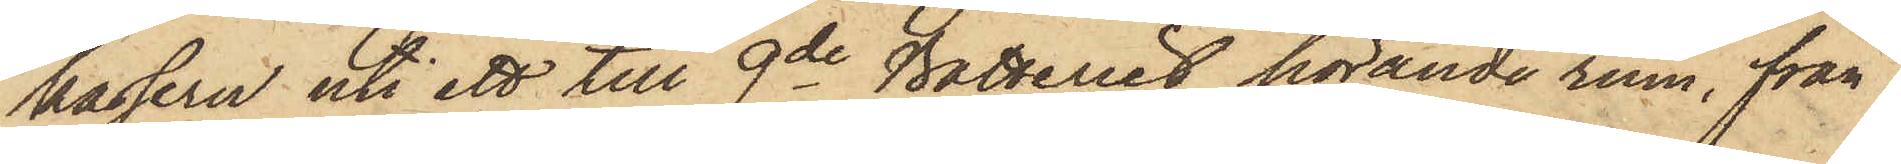kasern uti ett till 9de Batteriet hörande rum, från
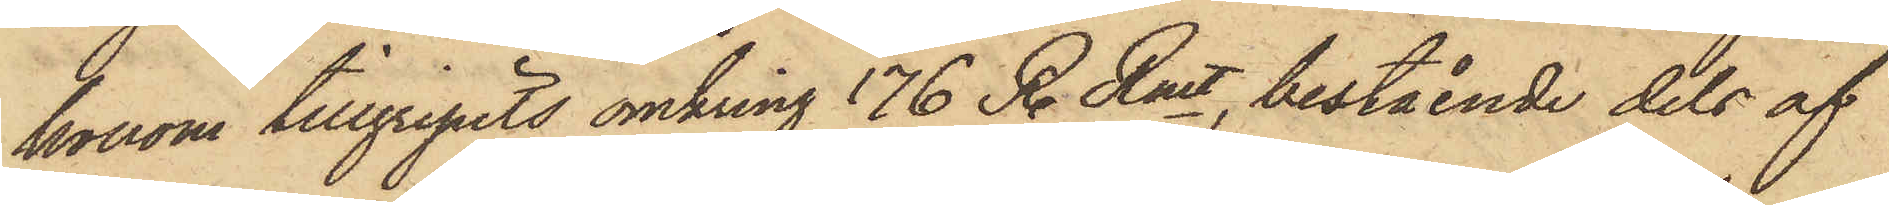honom tillgripits omkring 176 R. Rmt, bestående dels af
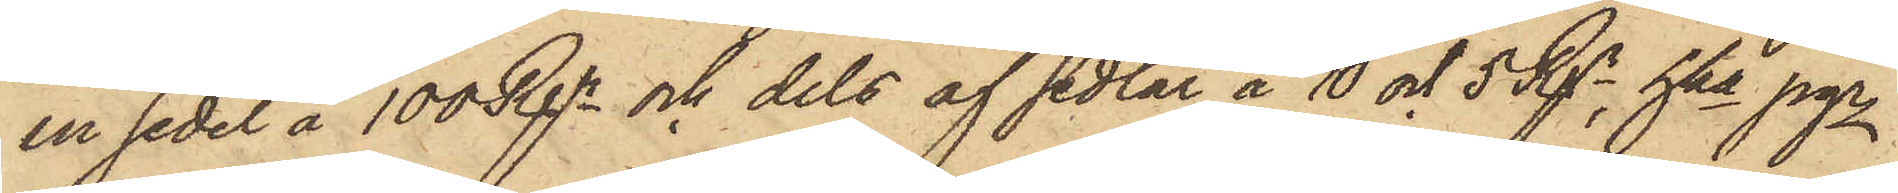en sedel å 100 Rgr och dels af sedlar å 10 och 5 Rgr, hka pgr
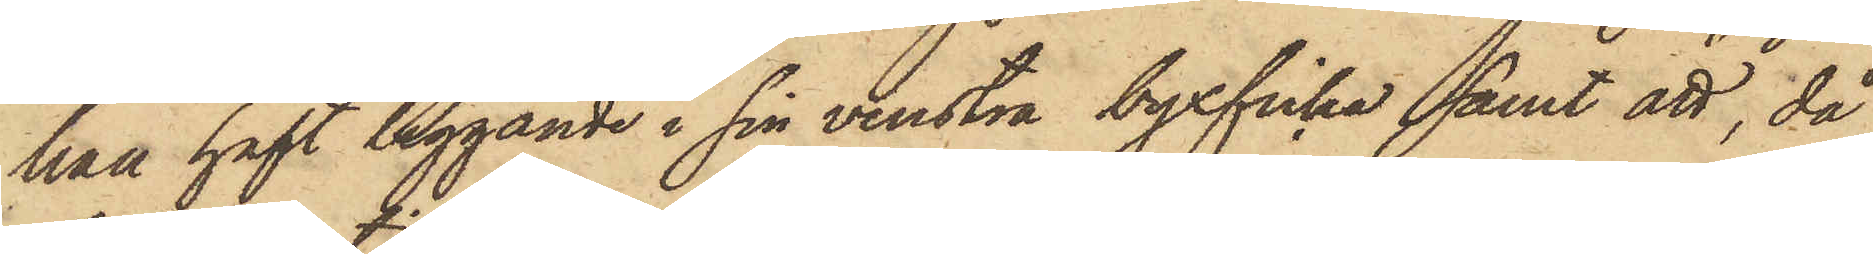han haft liggande i sin venstra byxficka samt att, då
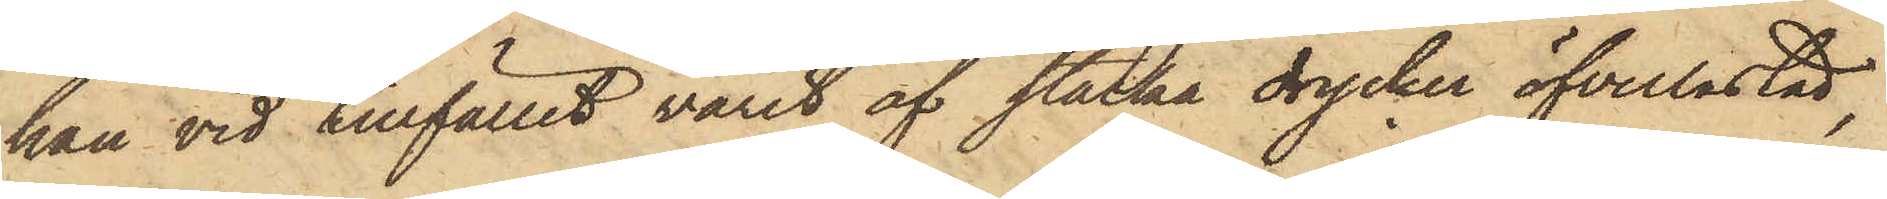han vid tillfället varit af starka drycker öfverlastad,
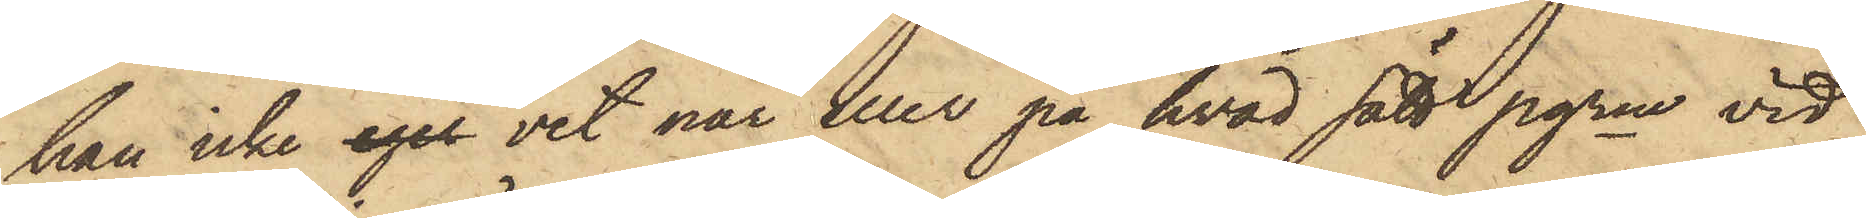han icke eger vet när eller på hvad sätt pgrne vid
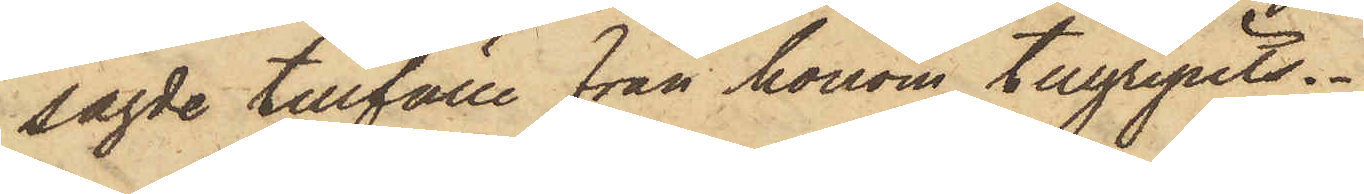sagde tillfälle från honom tillgripits.
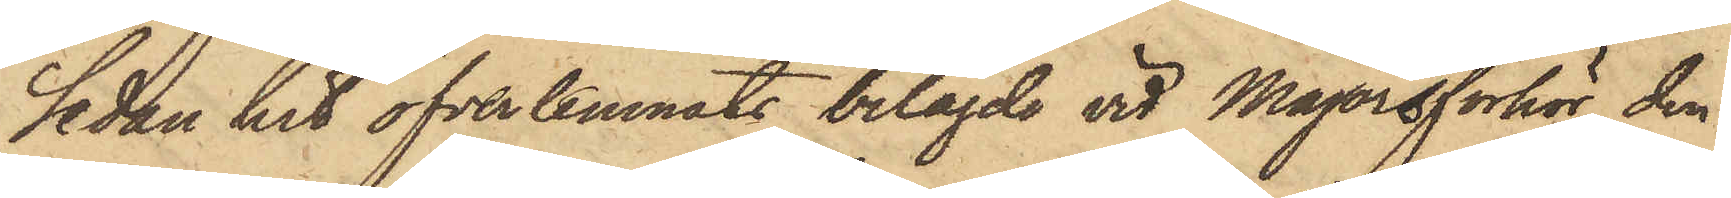Sedan hit öfverlemnats bilagde vid Majorsförhör den
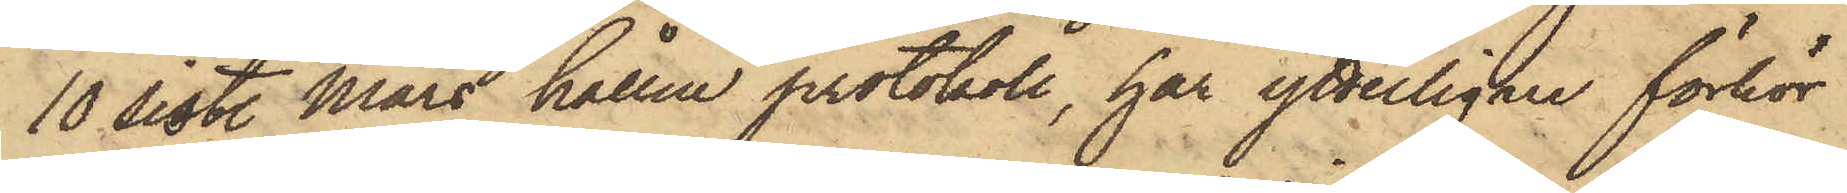10 sistl. Mars hållne protokoll, har ytterligare förhör
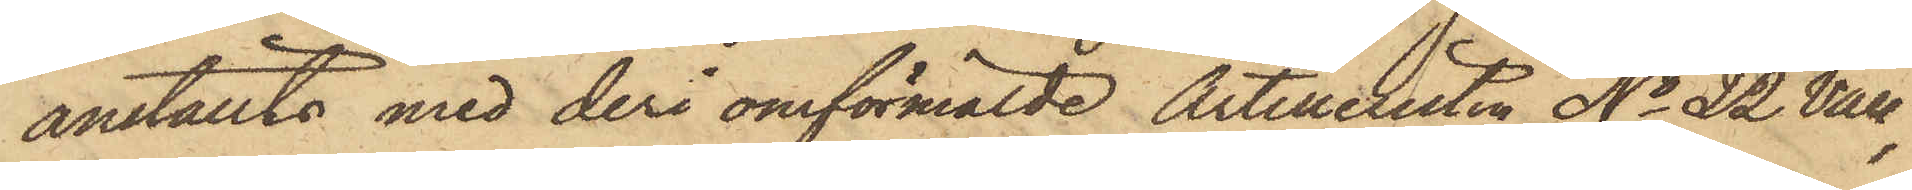anställts med deri omförmälde Artilleristen No 22 Vall,
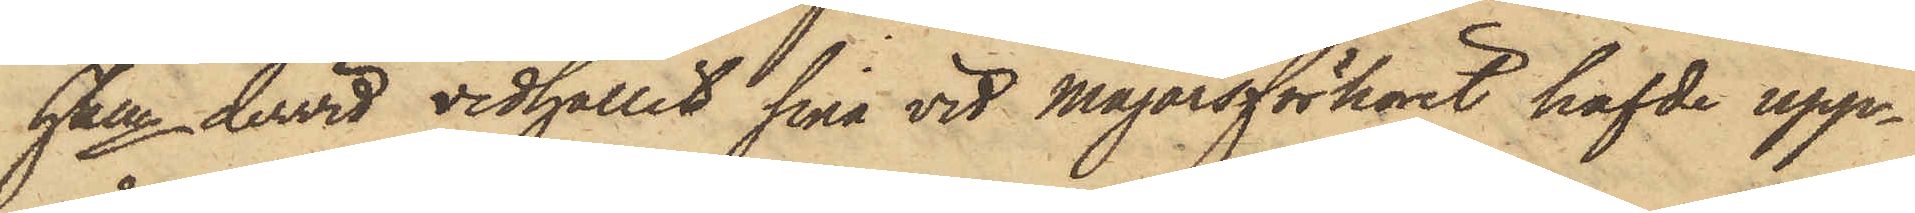hken dervid vidhållit sina vid Majorsförhöret hafde upp¬
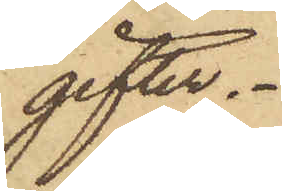gifter.
